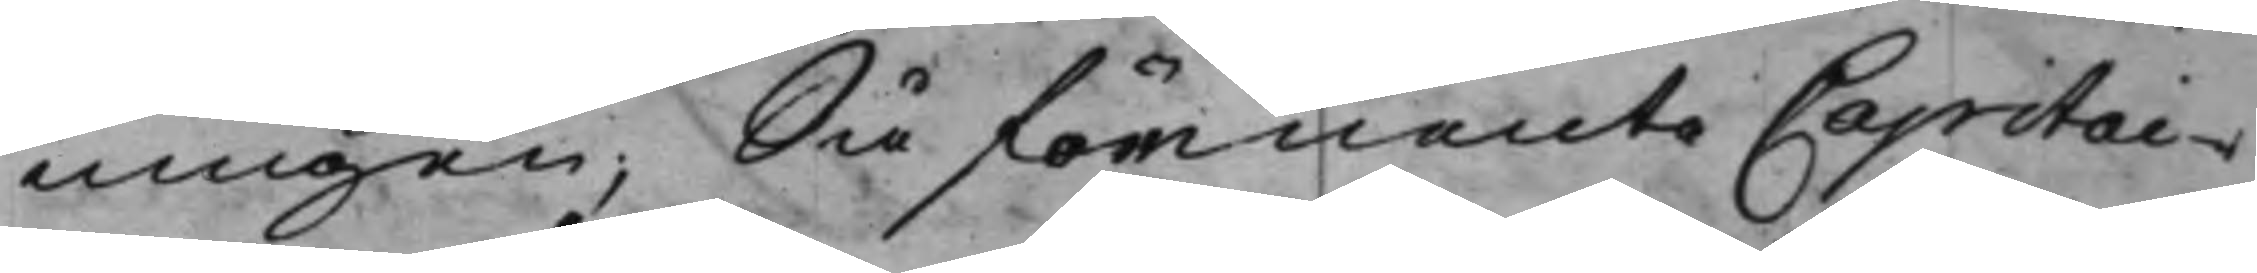ningen; Så förmente Capitai¬
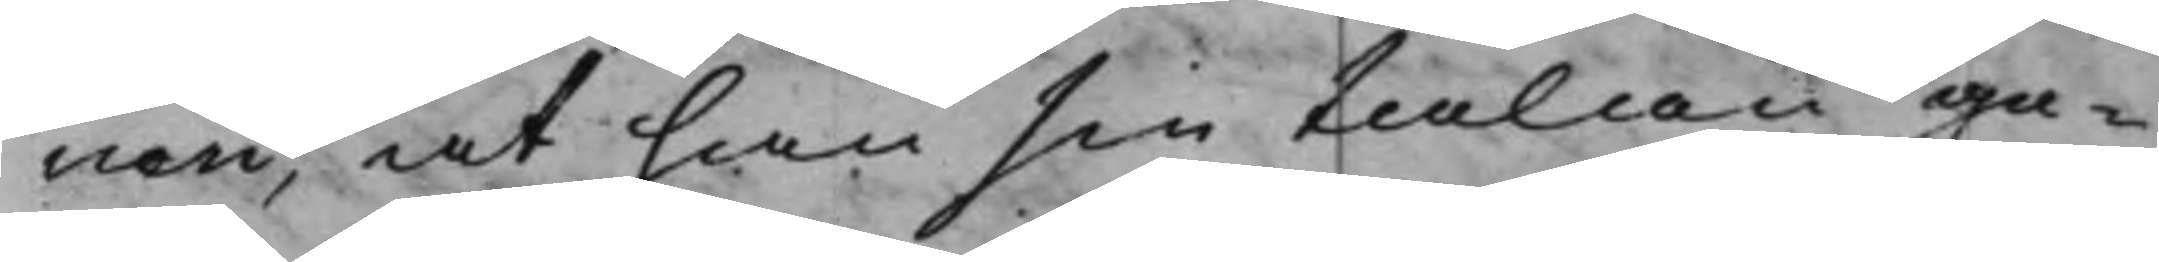nen, at han sin talan ge¬
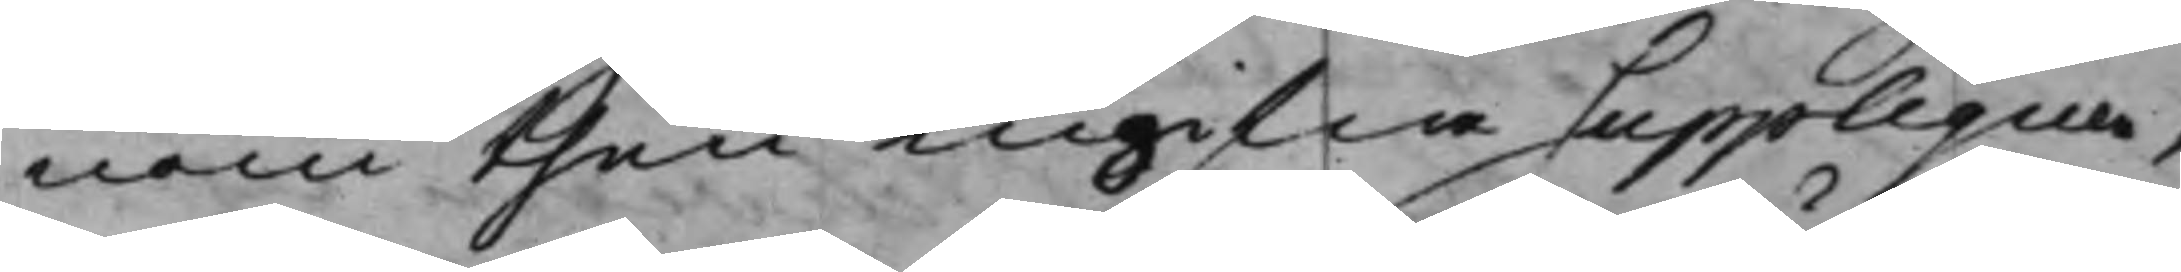nom then ingifne Supplique,
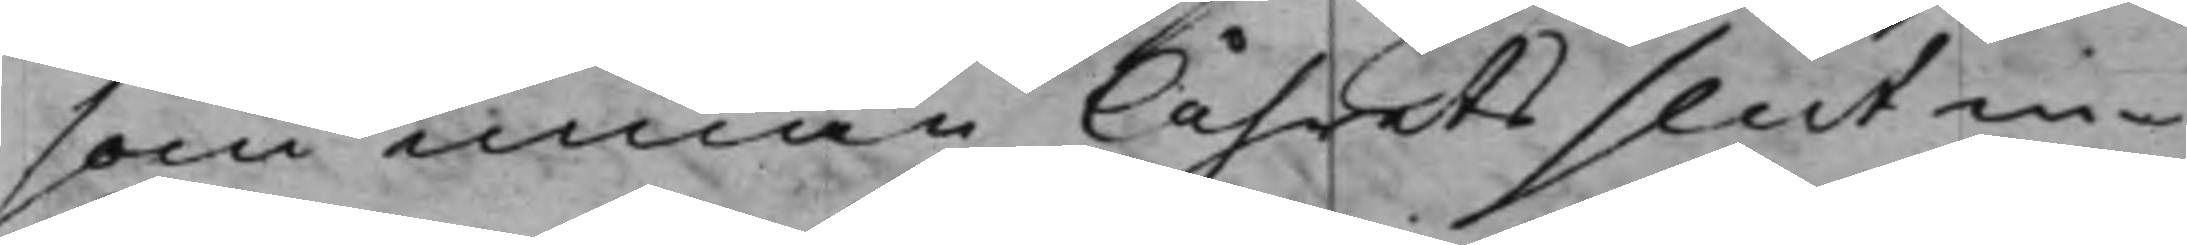som innan Åhrets slut in¬
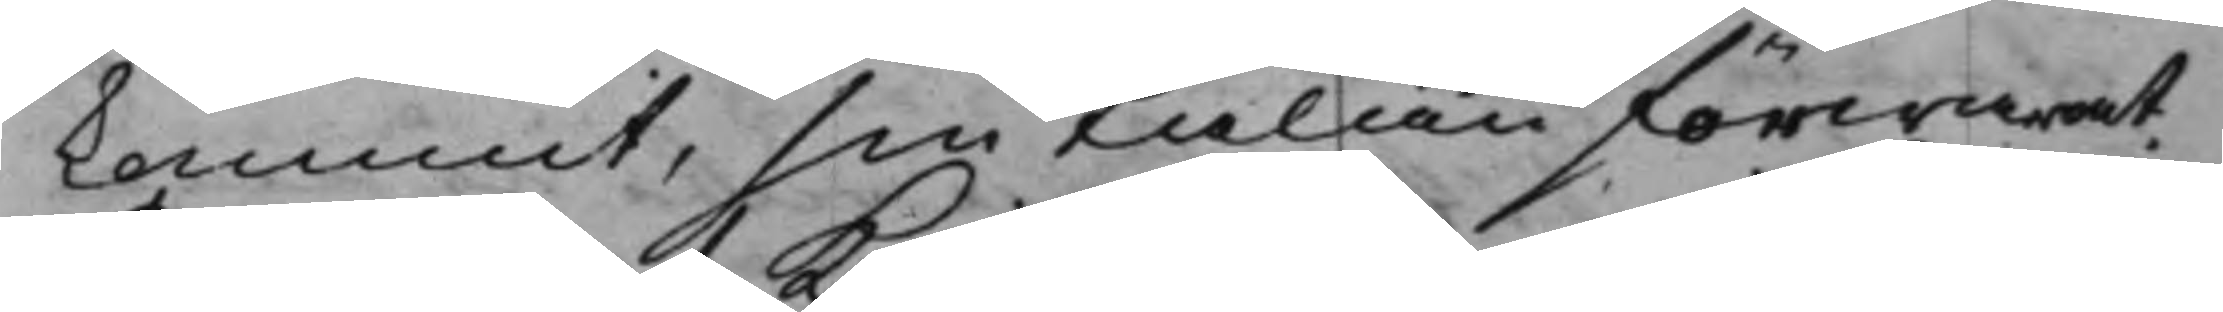kommit, sin talan förwarat,
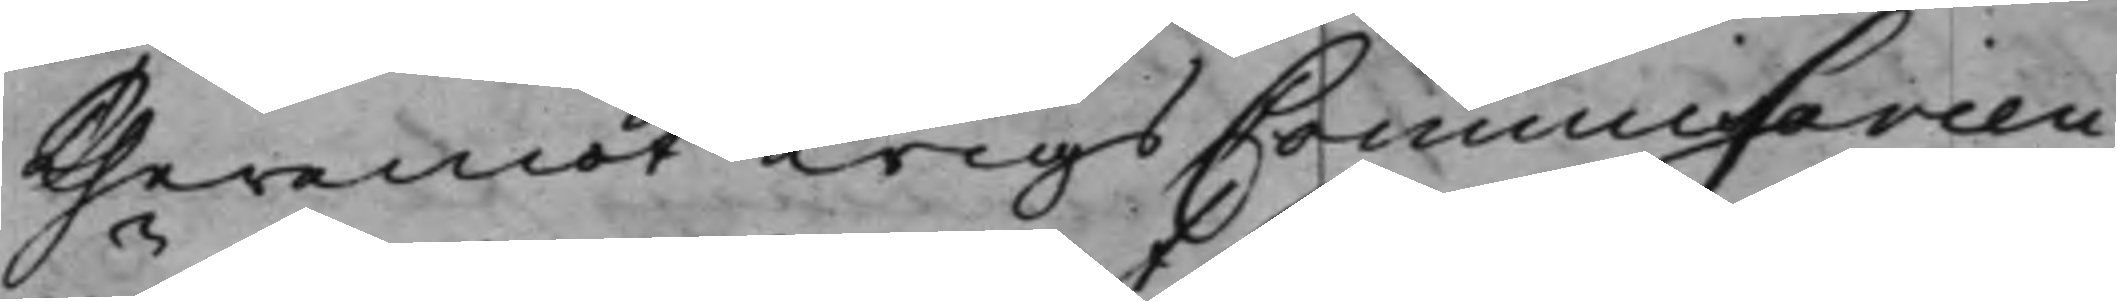theremot KrigsCommissarien
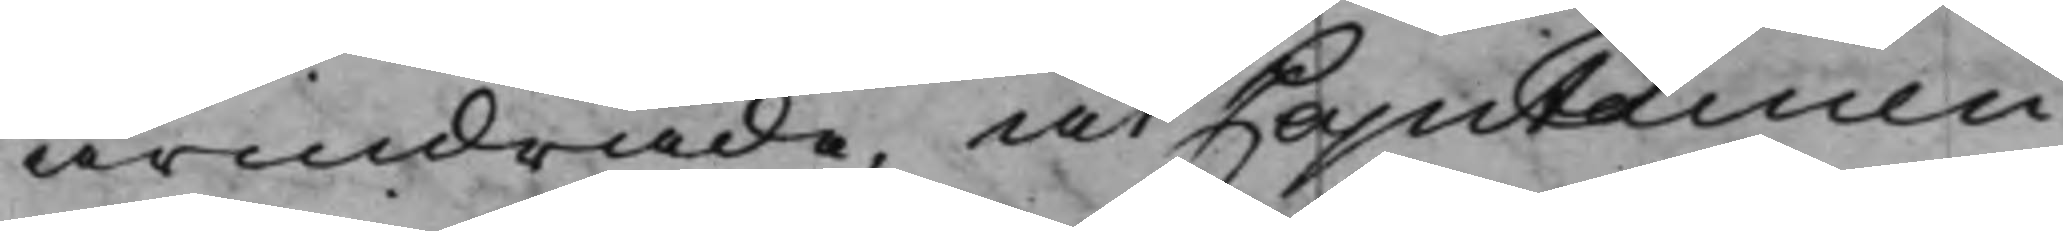andrade, at Capitainen
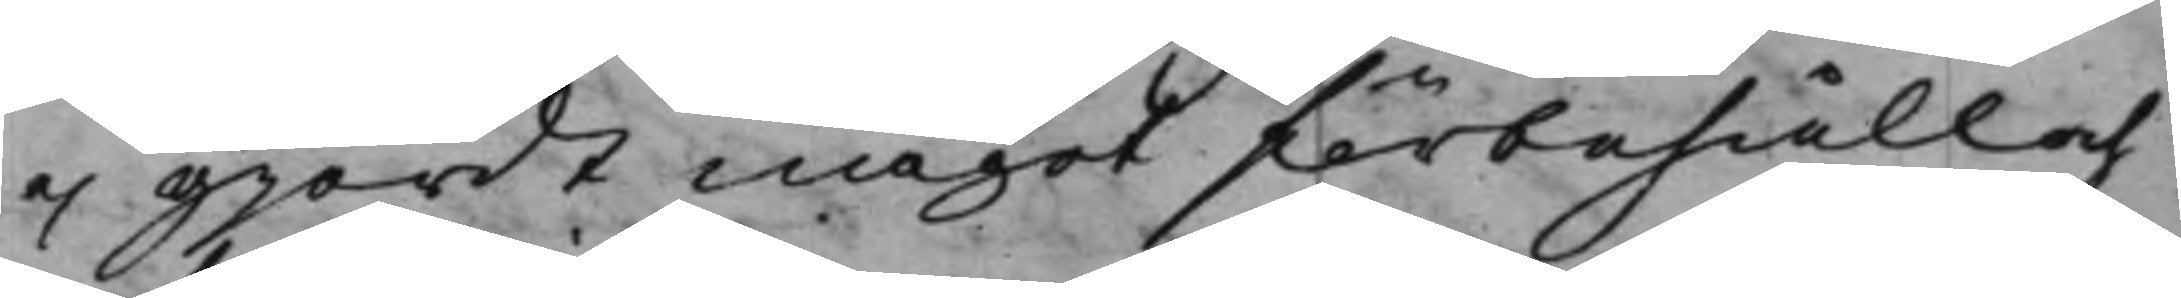ej gjordt något förbehåll och
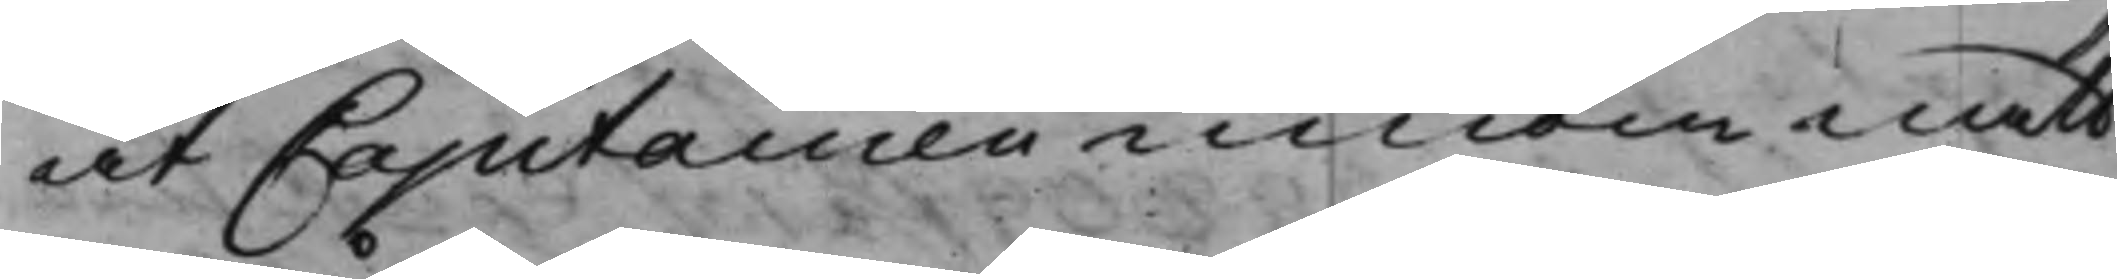at Capitainen innom natt
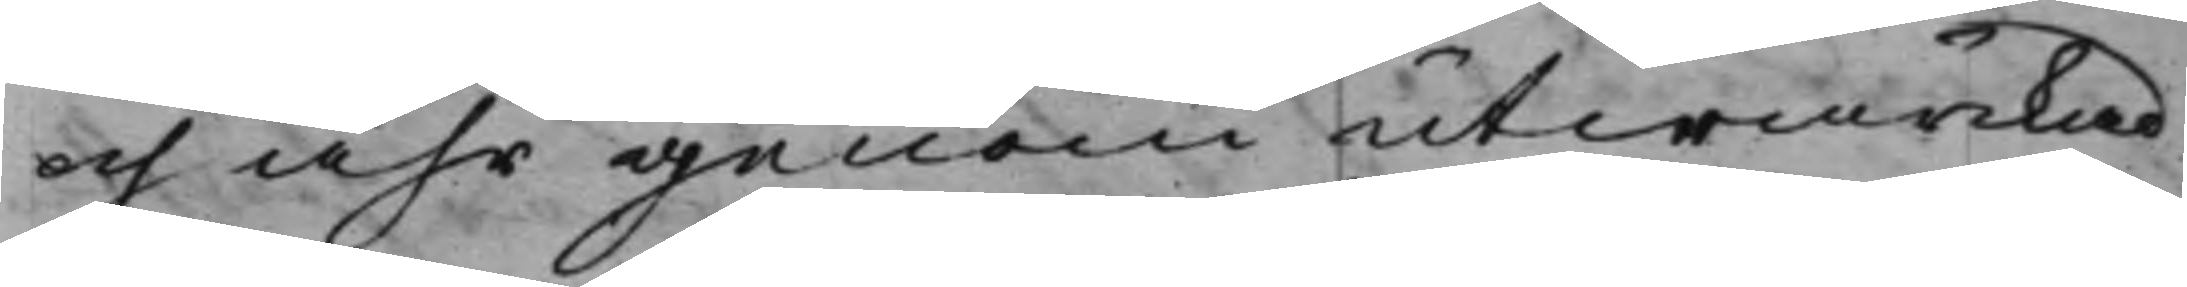och åhr genom utwärkad,
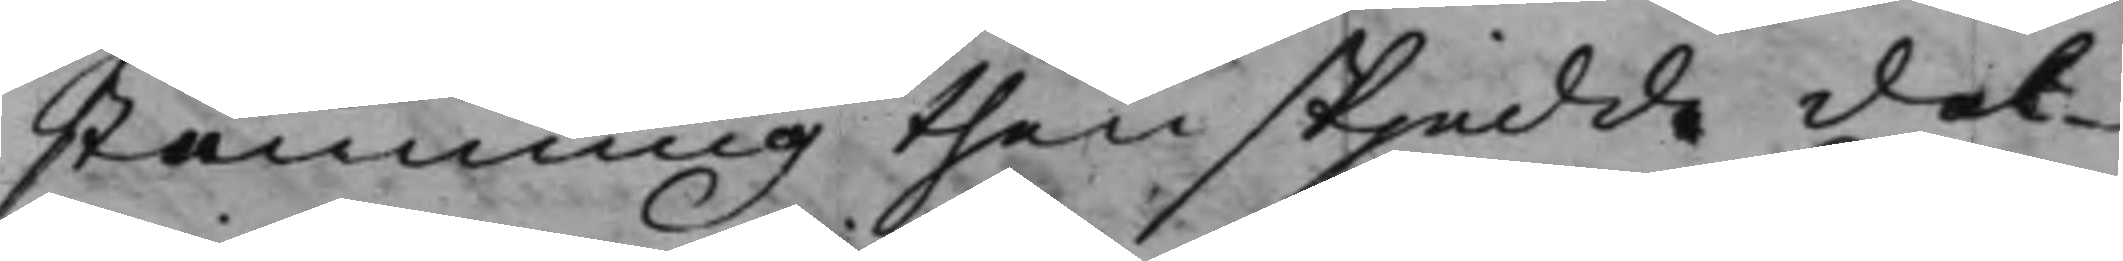stämning then skjedde det¬
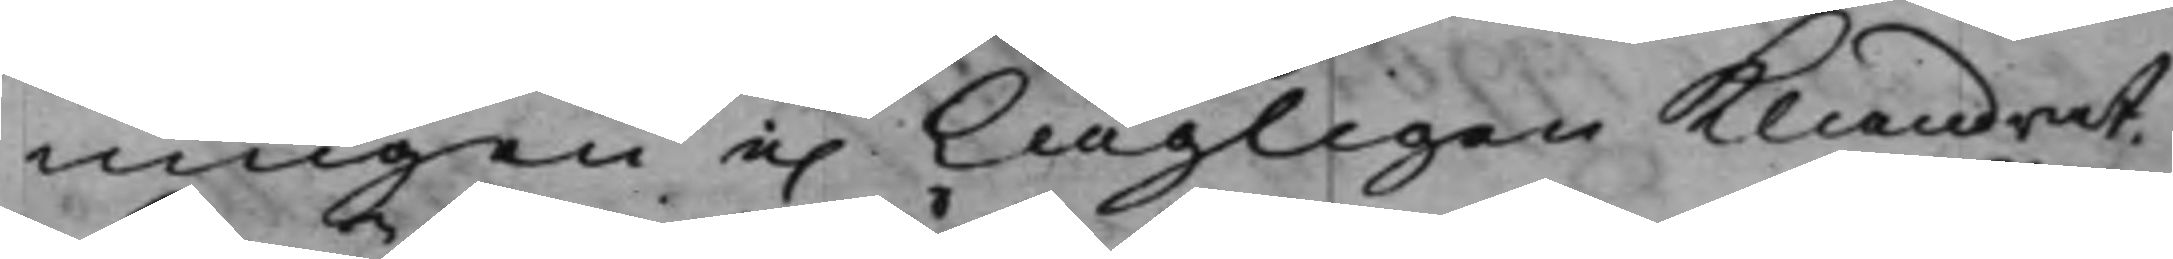ningen e. Lagligen klandrat, 
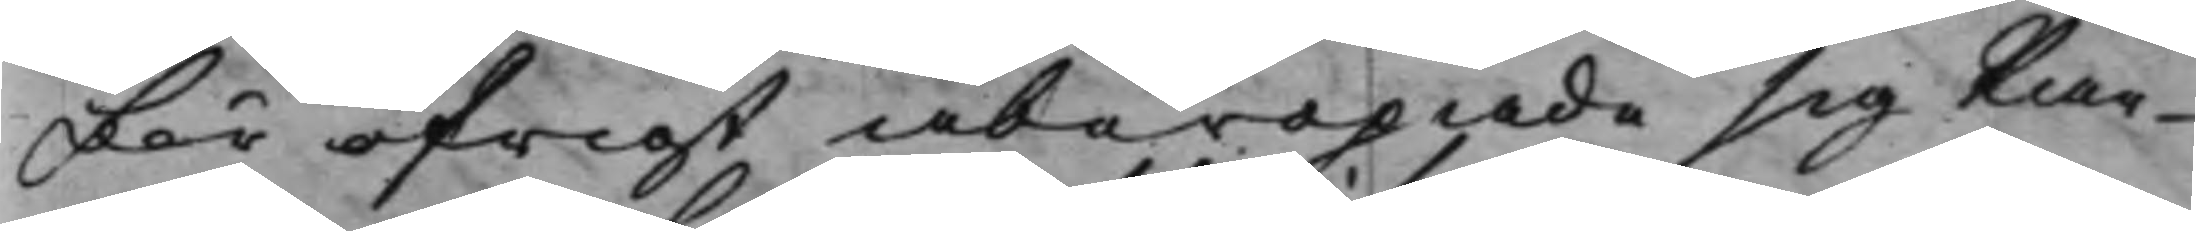för öfrigt åberopade sig kiän¬
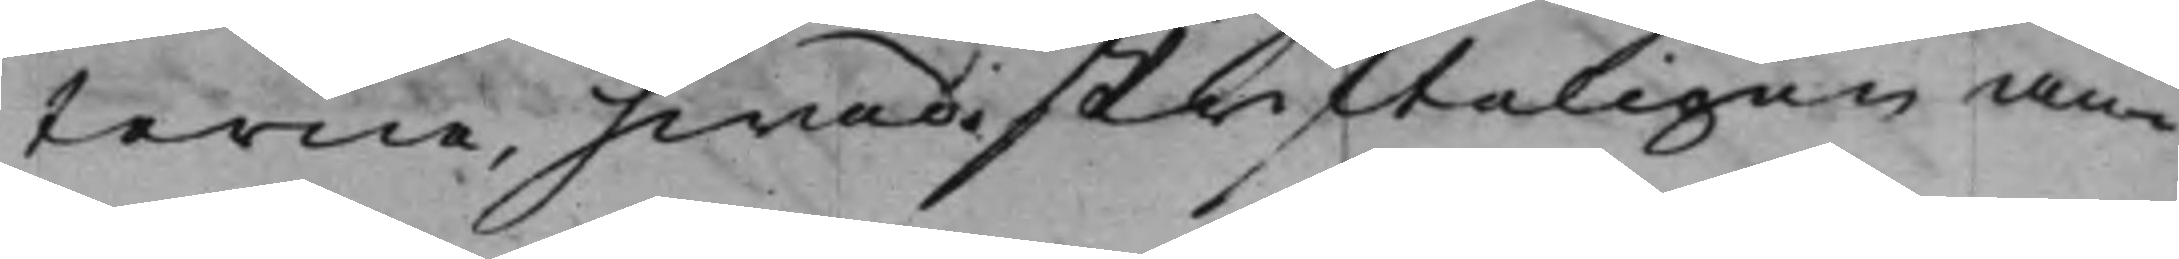terne, hwad skrifteligen an¬
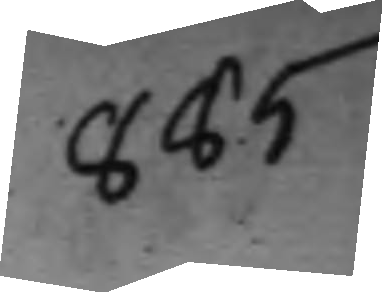865.
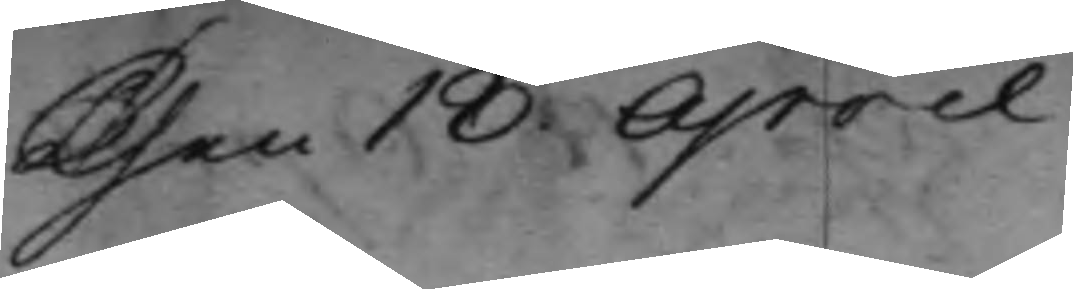Then 18 April
